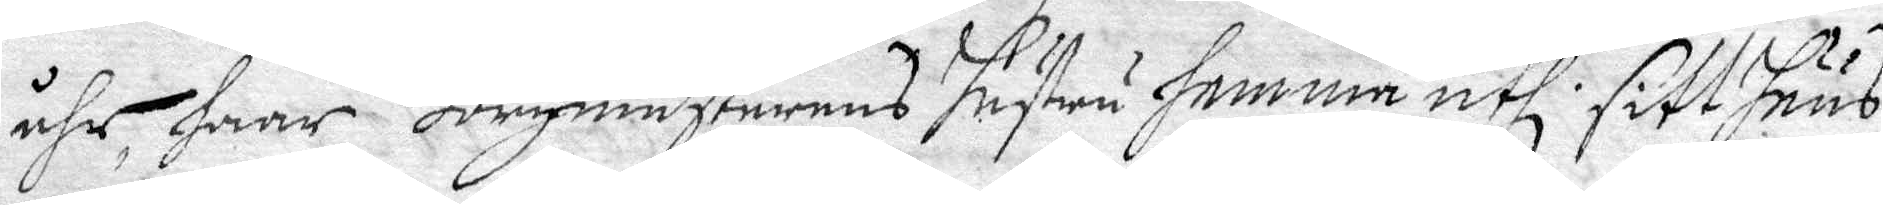åhr, haar Borgmästarens hustru hemma uthi sitt huus
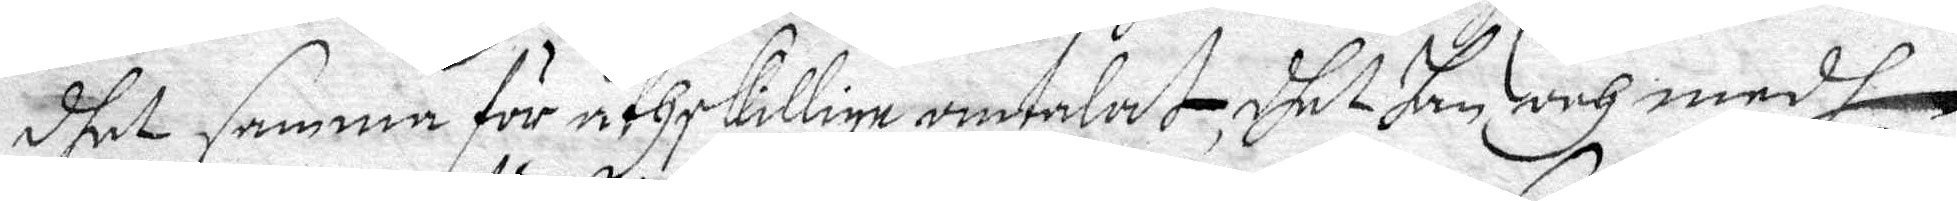dhet samma för åthskillige omtalat, dhet han och medh
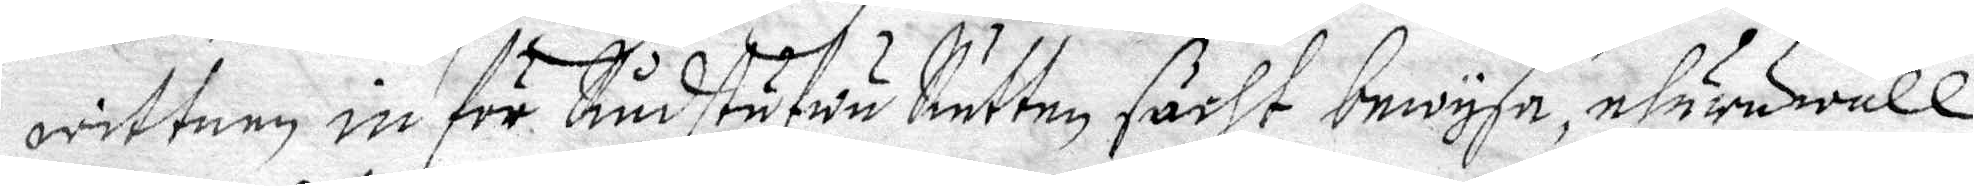wittnen in för Rådstufwu Rätten söcht bewysa, ehuruwäll
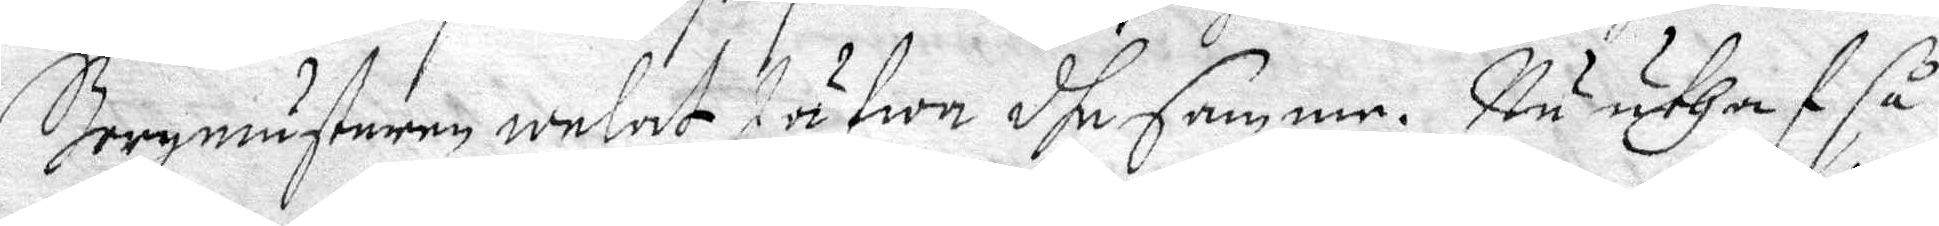Borgmästaren welat Jäfwa dhe samme. Nu uthaf så¬
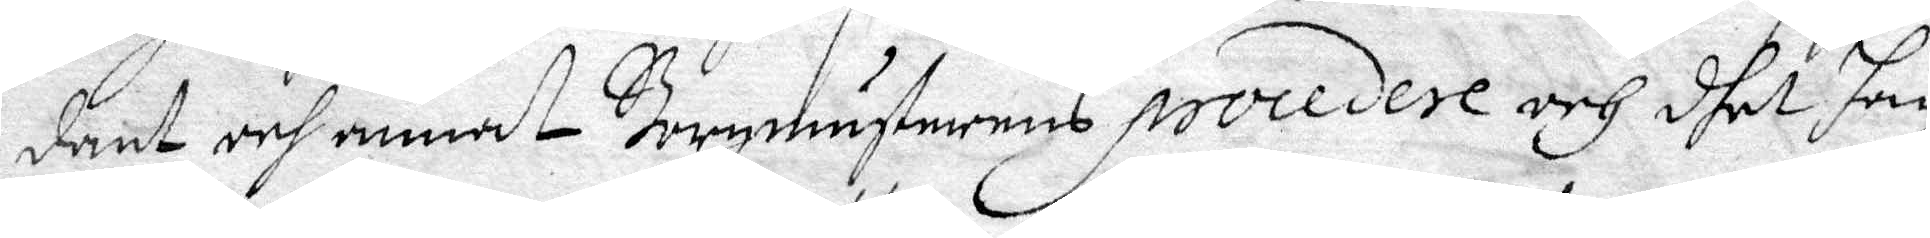dant och annat Borgmästarens Procedere och dhet han
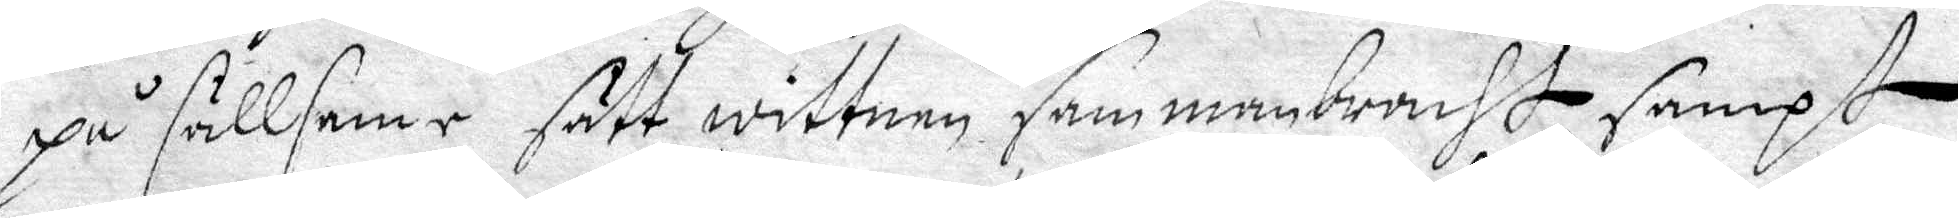på sällsame sätt wittnen sammanbracht, sampt
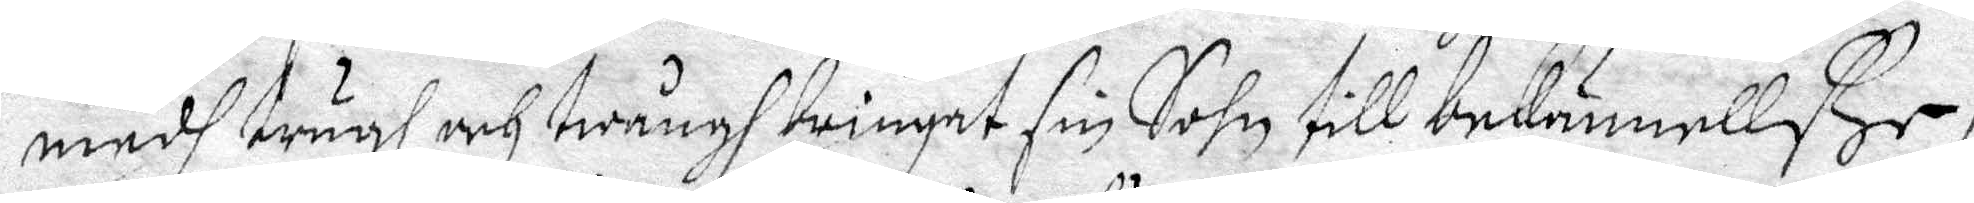medh trugh och twångh twingat sin Sohn till bekännellse /:
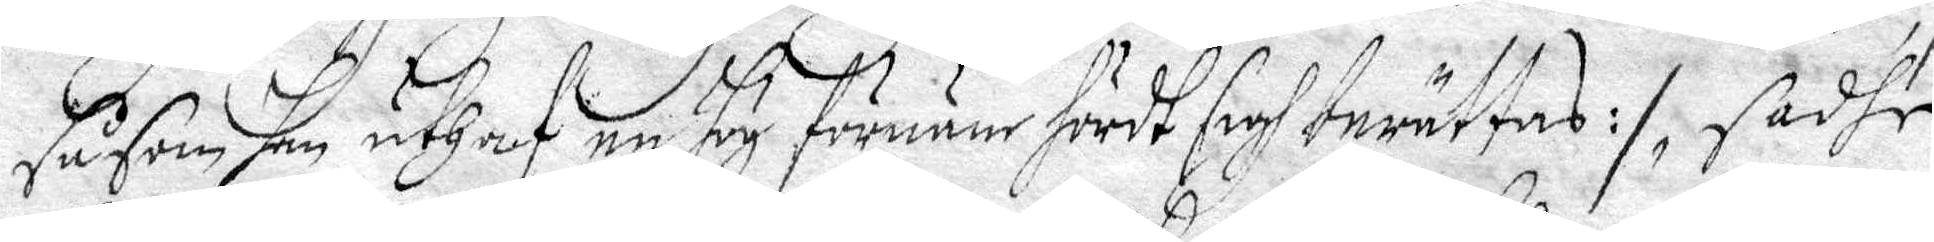såsom han unthaf en hög förnäer hördt sigh berättas :/, sadhe
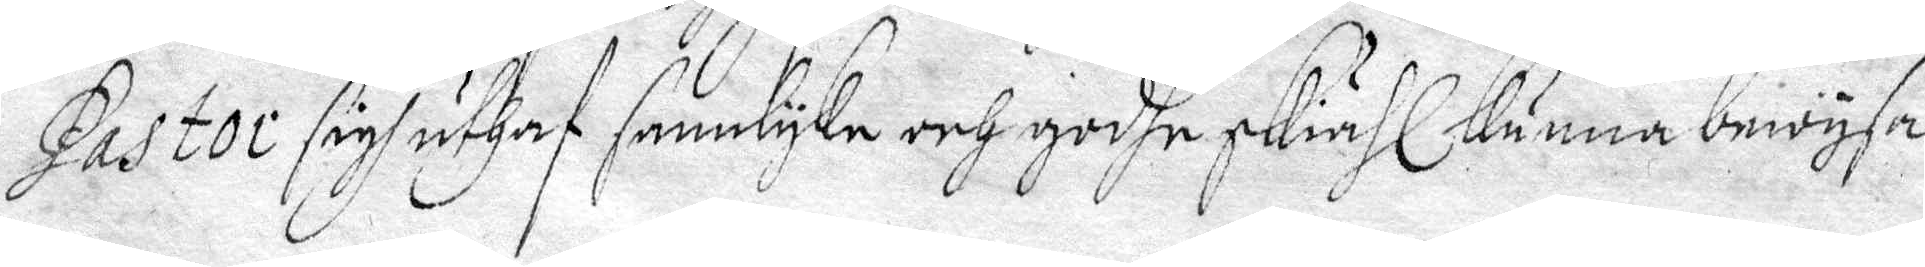Pastor sigh uthaf sannlyka och godhe skiähl kunna bewysa
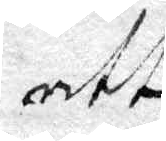att
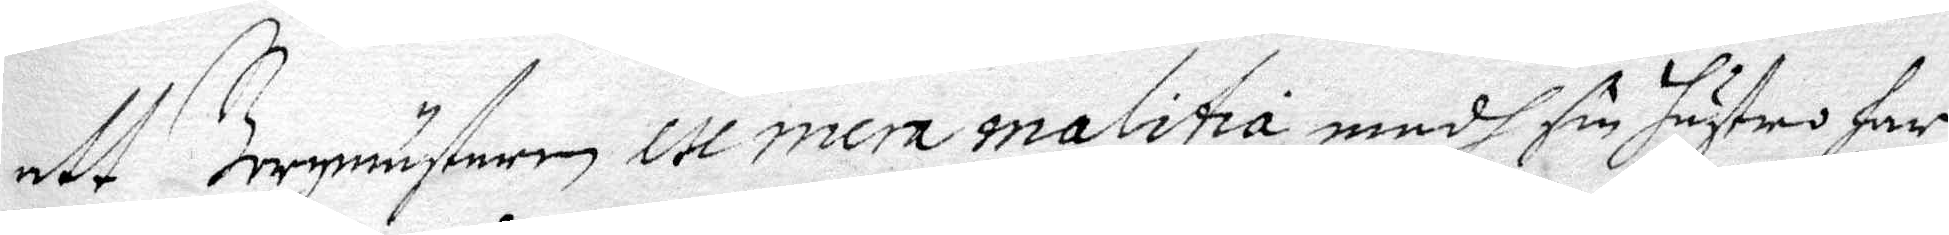att Borgmästaren exmera malitia medh sin hustru har
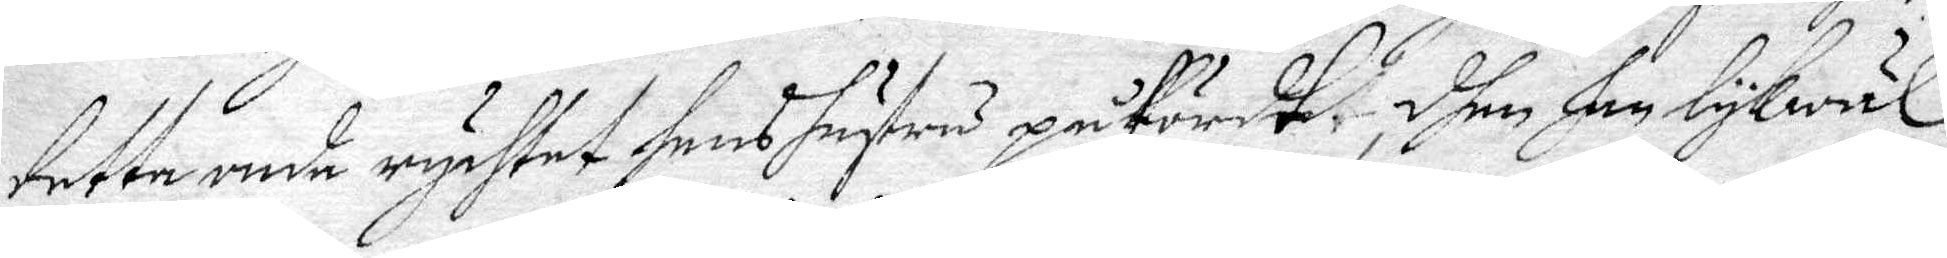detta onda rychtet hans hustru påfördt, dhen han lykwäl
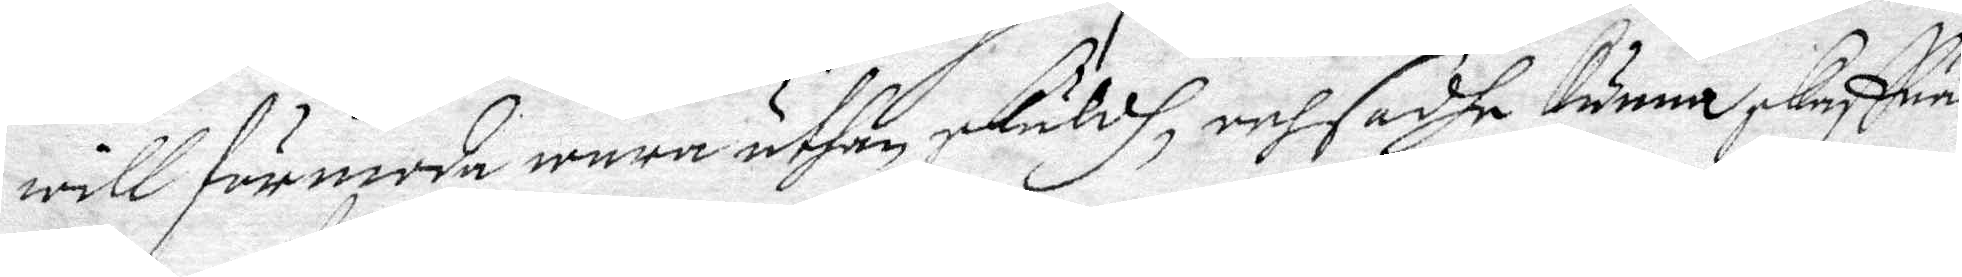will förmoda wara uthan skuldh, och sadhe kunna skriffua
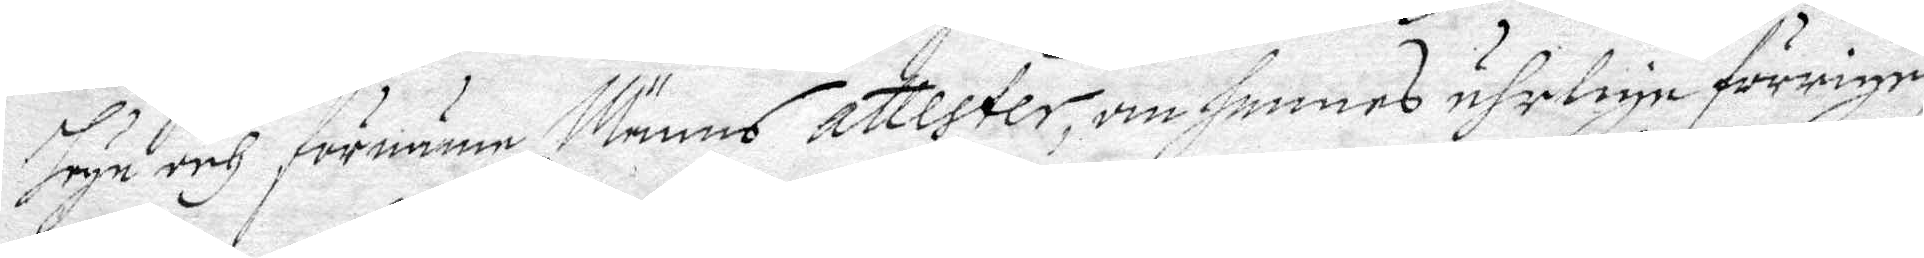höge och förnäme Männs attester, om hennes ährlige förrige
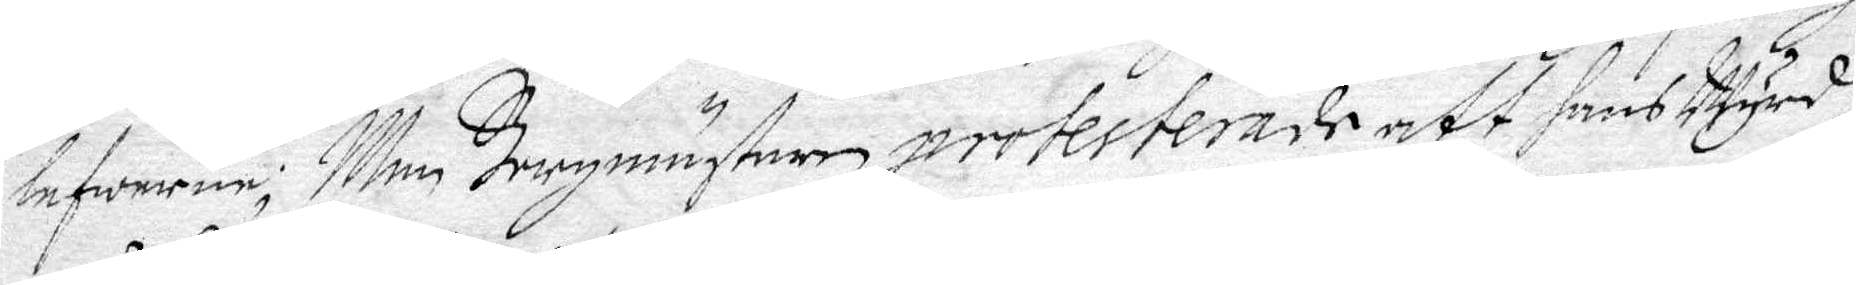lefwerne; Men Borgmästaren protesterade att hans Wyrd. t
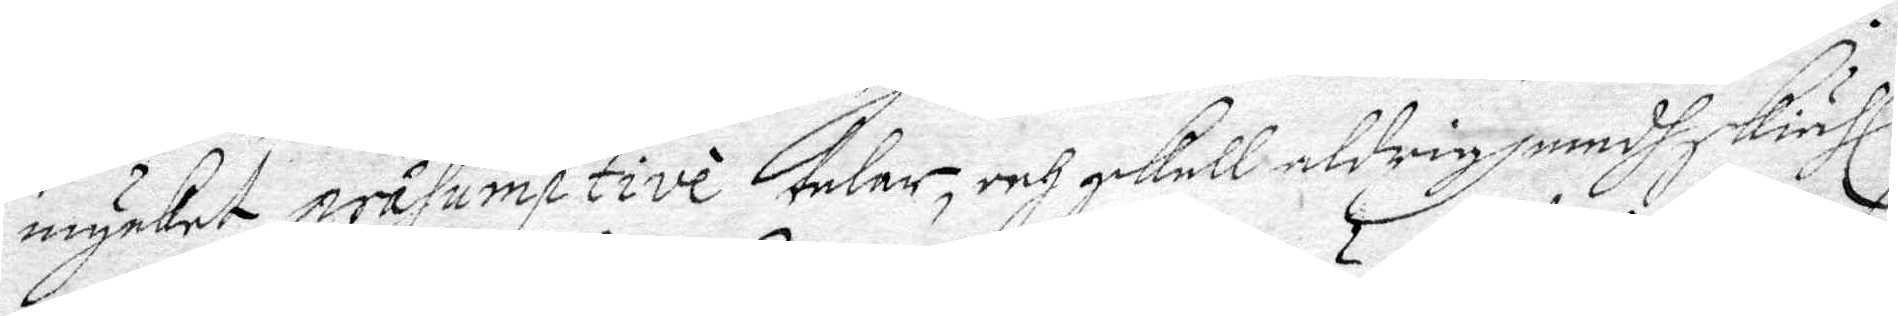mycket prasumptive talar, och skall aldrigh medh skiähl
